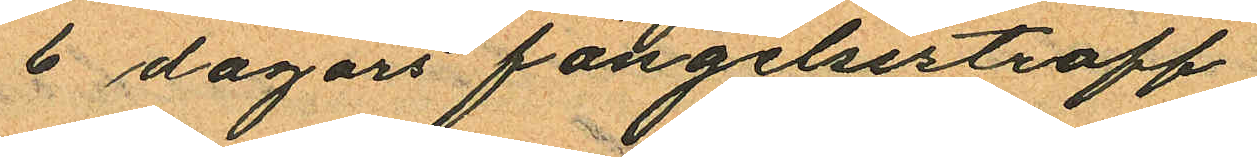6 dagars fängelsestraff
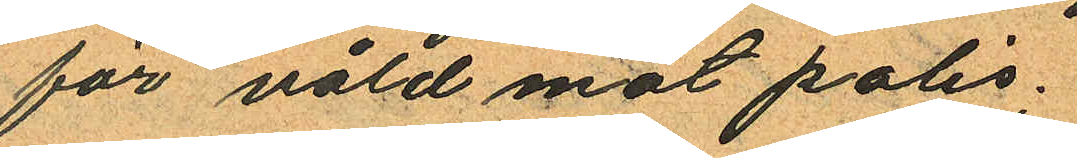för våld mot polis;
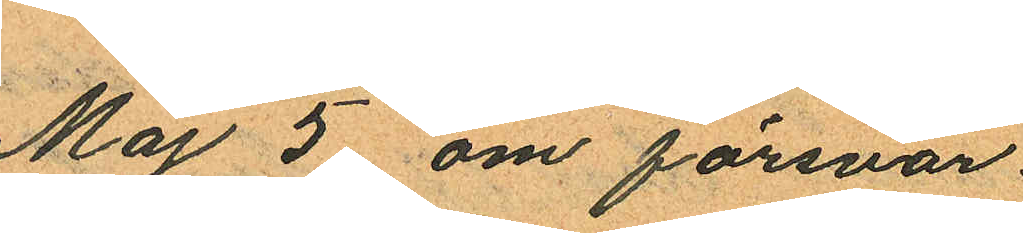Maj 5 om försvar.
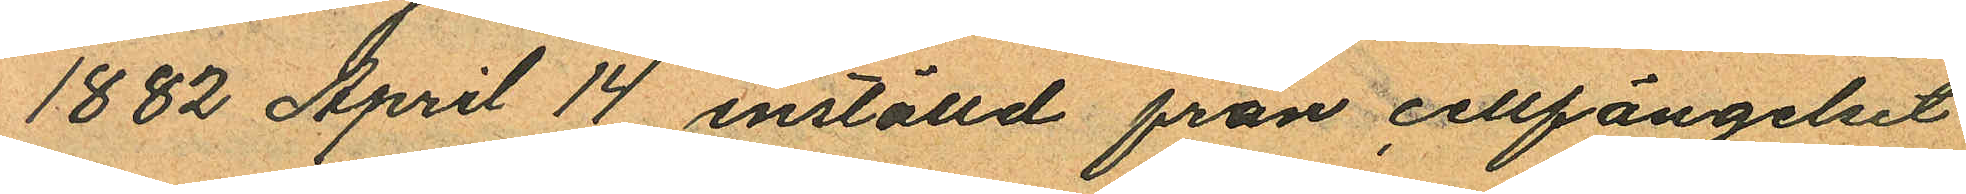1882 April 14 inställd från cellfängelset
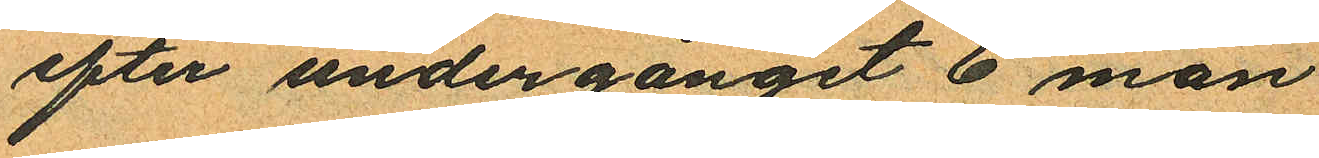efter undergånget 6 mån
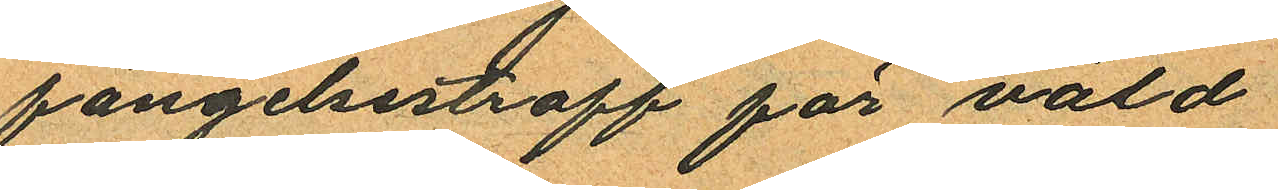fängelsestraff för våld
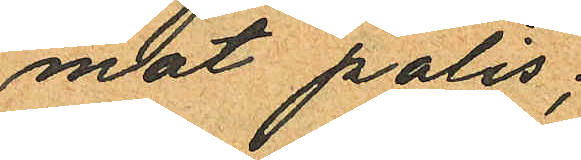mot polis;
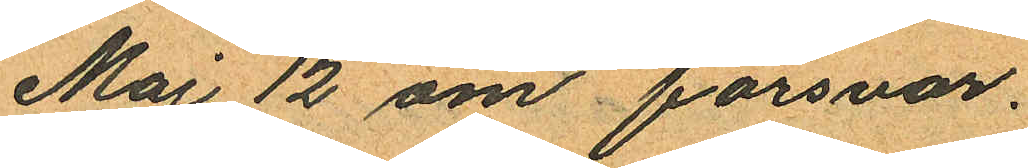Maj 12 om försvar.
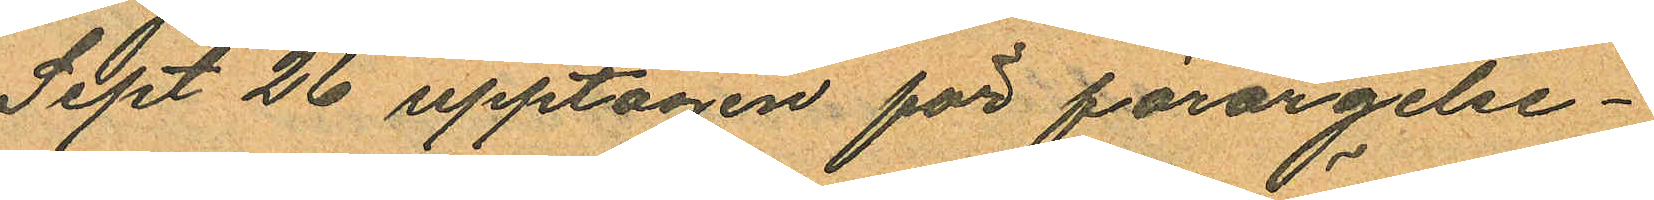Sept 26 upptagen för förargelse¬
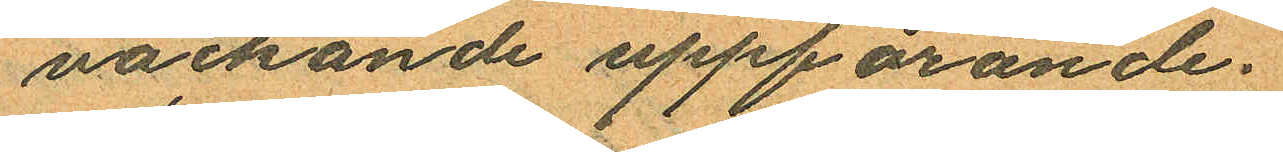väckande uppförande.
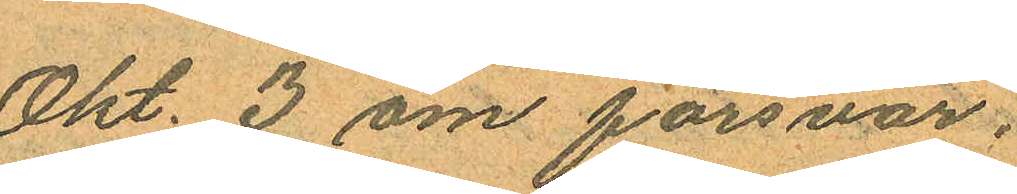Okt. 3 om försvar.
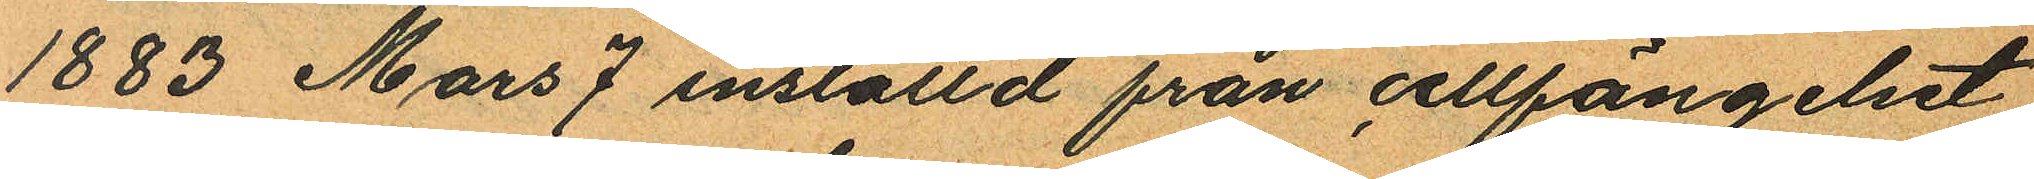1883 Mars 7 inställd från cellfängelset
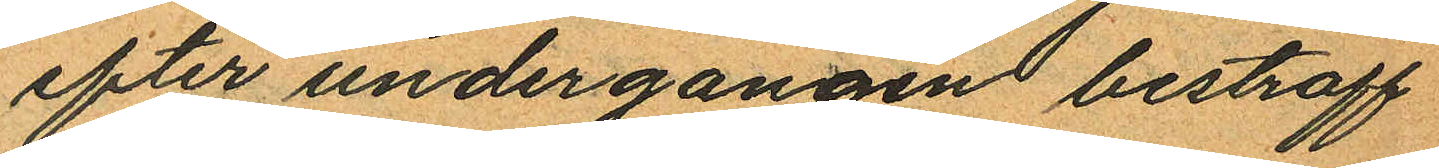efter undergangen bestraff
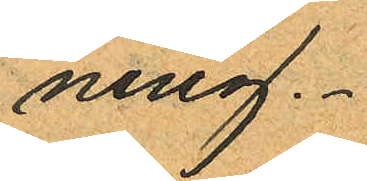ning.
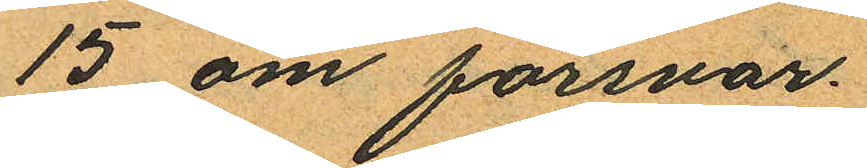15 om försvar.
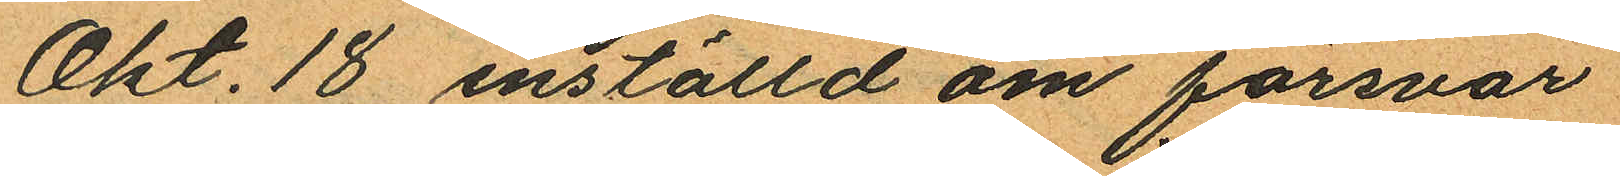Okt. 18 inställd om försvar
